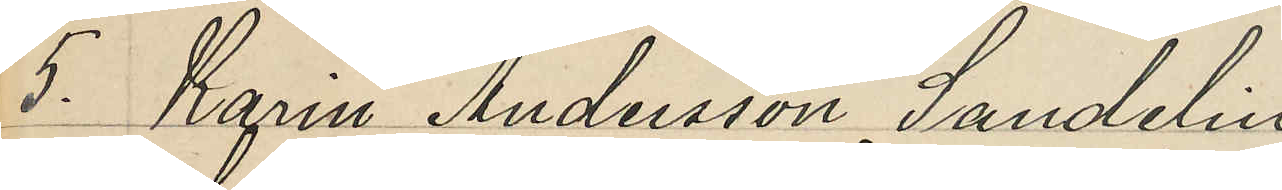5. Karin Andersson Sandelin
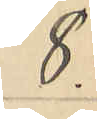8.
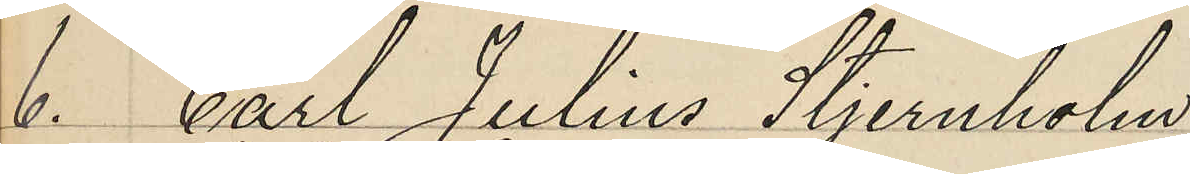6. Carl Julius Stjernholm
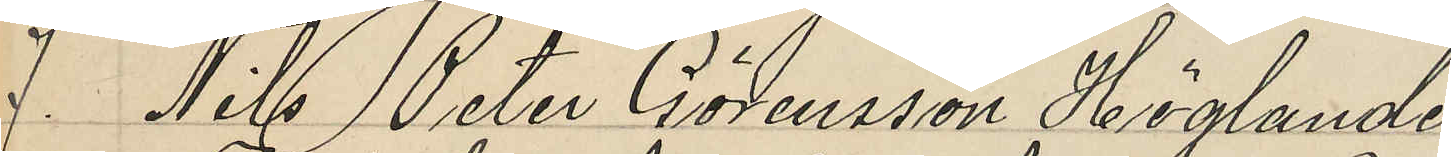7. Nils Peter Göransson Höglander
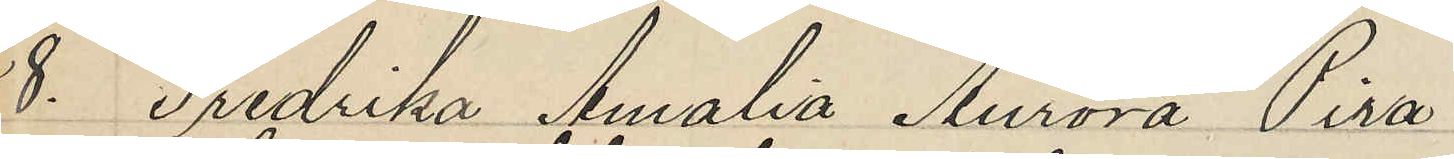8. Fredrika Amalia Aurora Pira
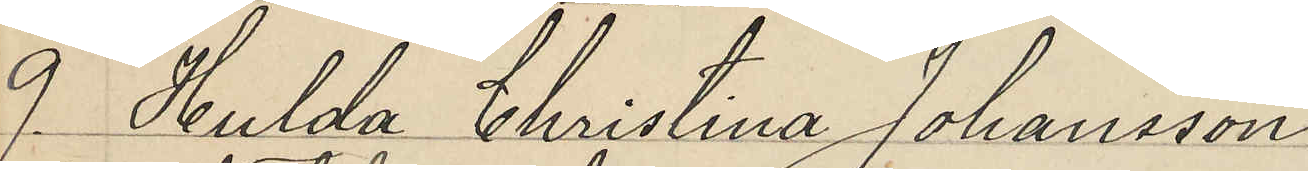9. Hulda Christina Johansson
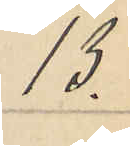13.
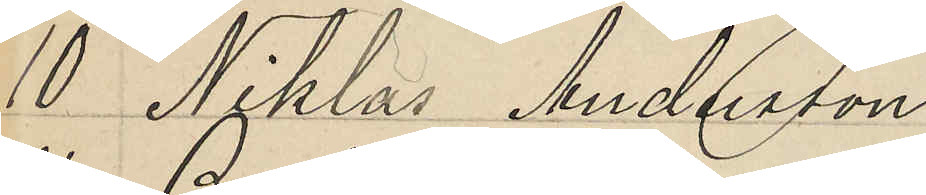10 Niklas Andersson
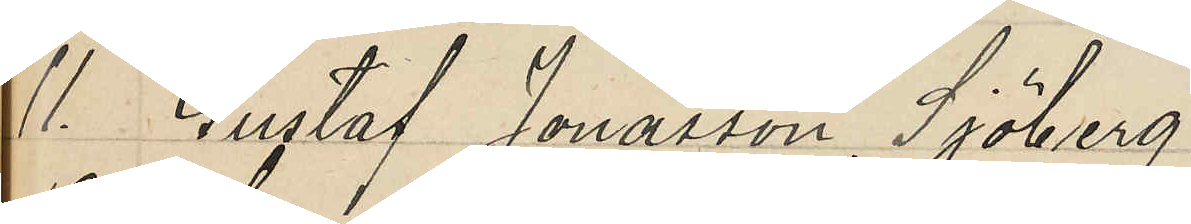11. Gustaf Jonasson Sjöberg
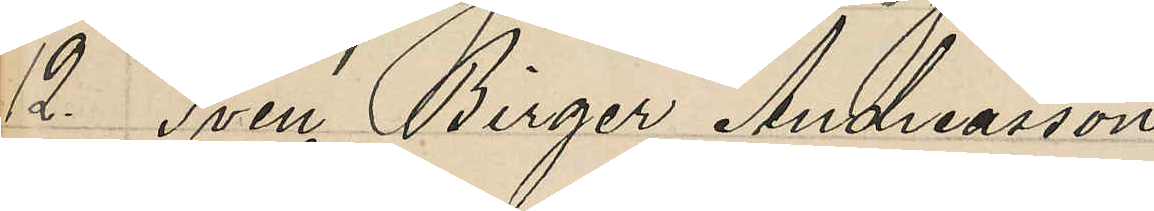12. Sven Birger Andreasson
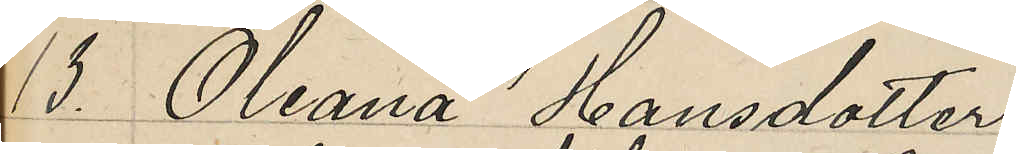13. Oleana Hansdotter
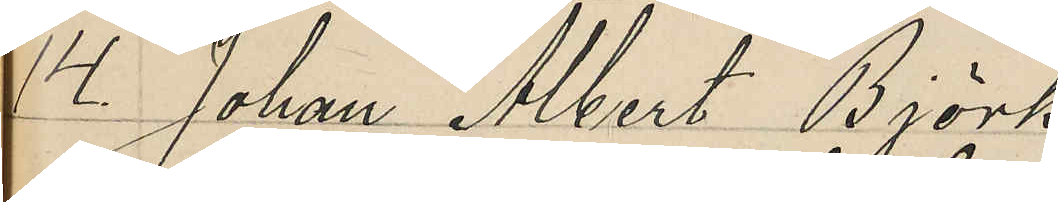14. Johan Alberg Björk
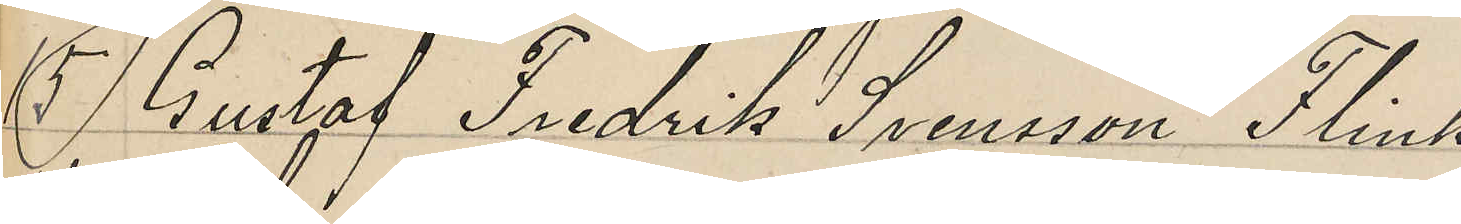15 Gustaf Fredrik Svensson Flink
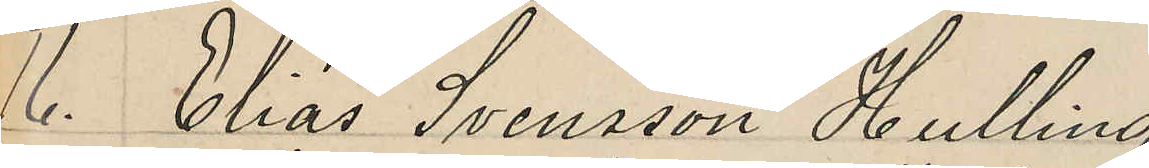16. Elias Svensson Hulling
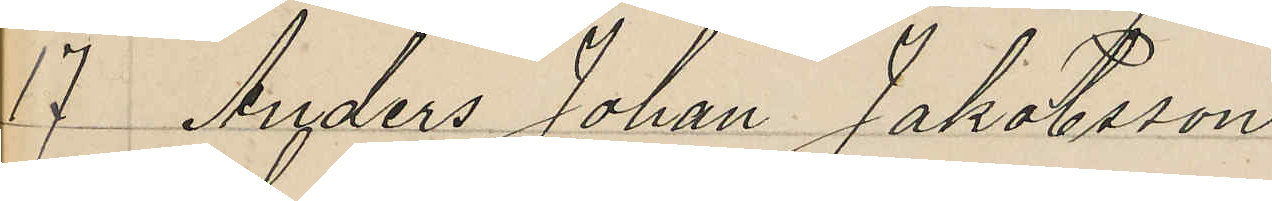17 Anders Johan Jakobsson
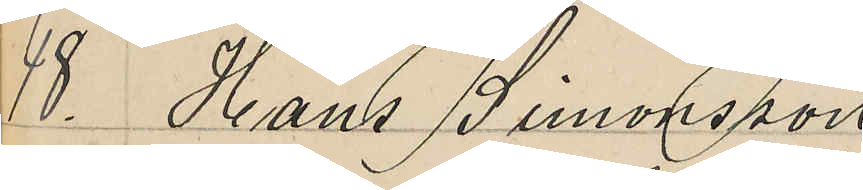18. Hans Simonsson
